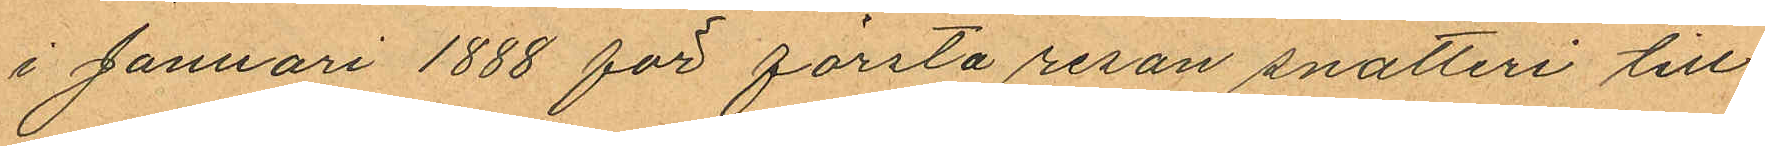i Januari 1888 för första resan snatteri till
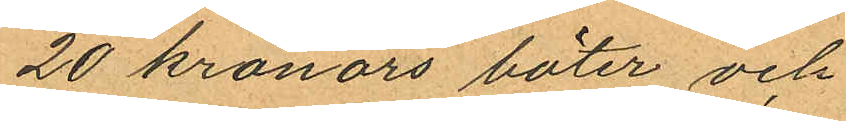20 kronors böter och
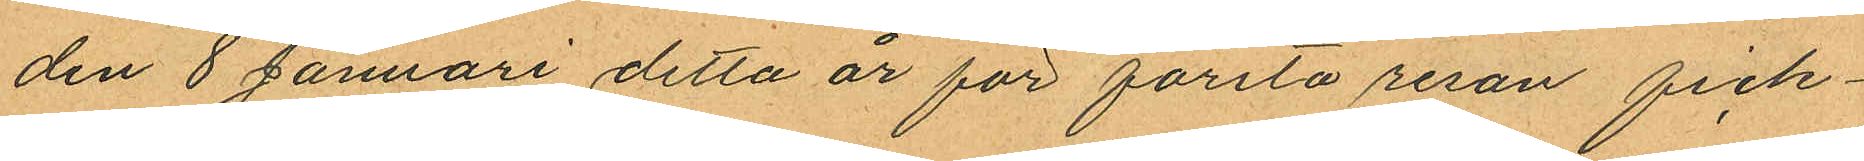den 8 Januari detta år för första resan fick¬
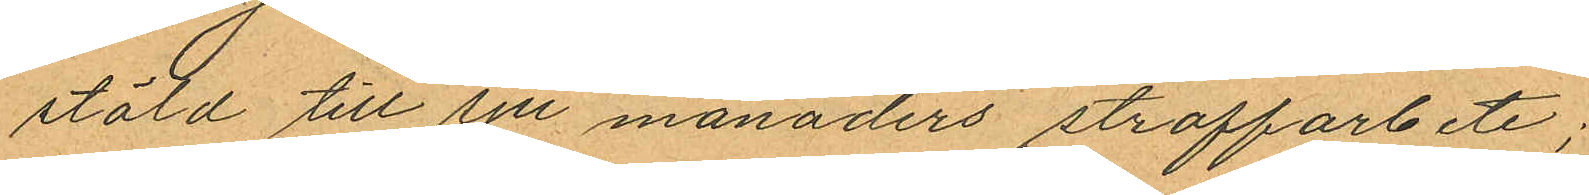stöld till sju månaders straffarbete;
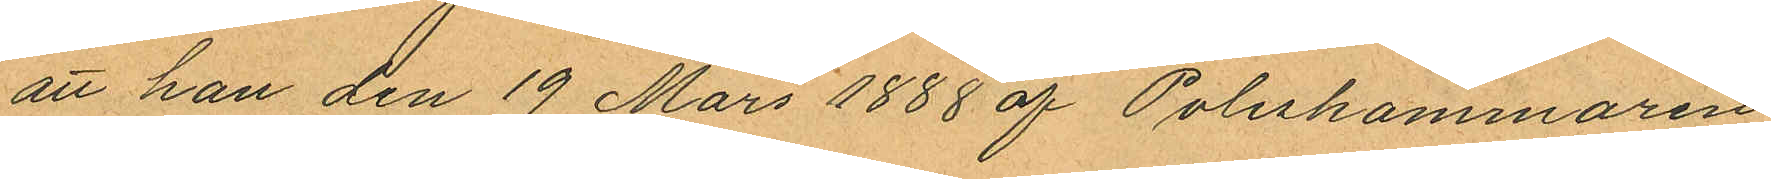att han den 19 Mars 1888 af Poliskammaren
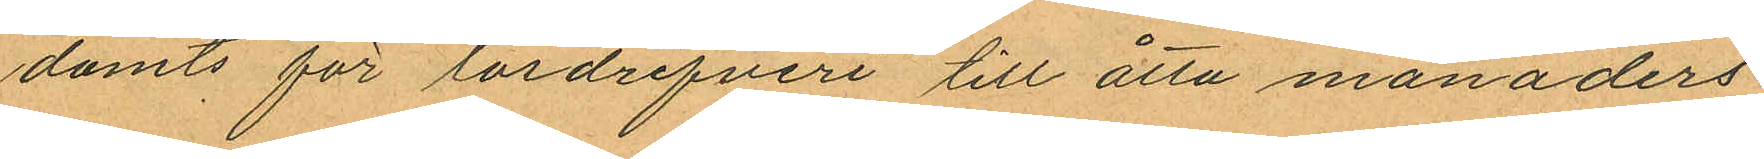dömts för lösdrifveri till åtta månaders
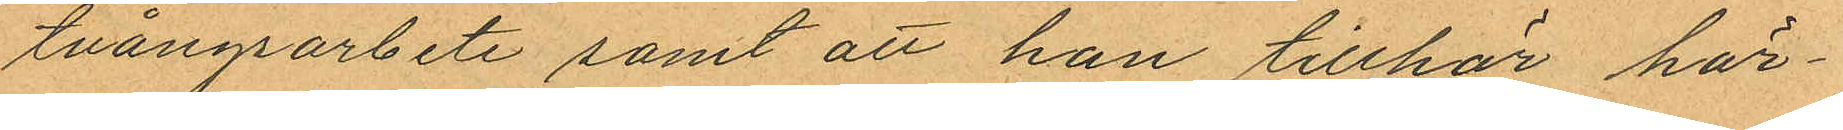tvångsarbete samt att han tillhör här¬
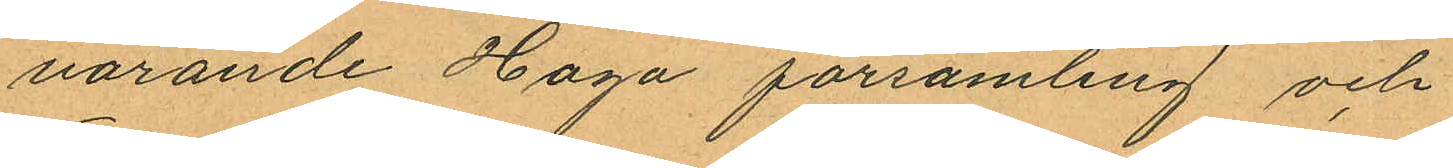varande Haga församling och
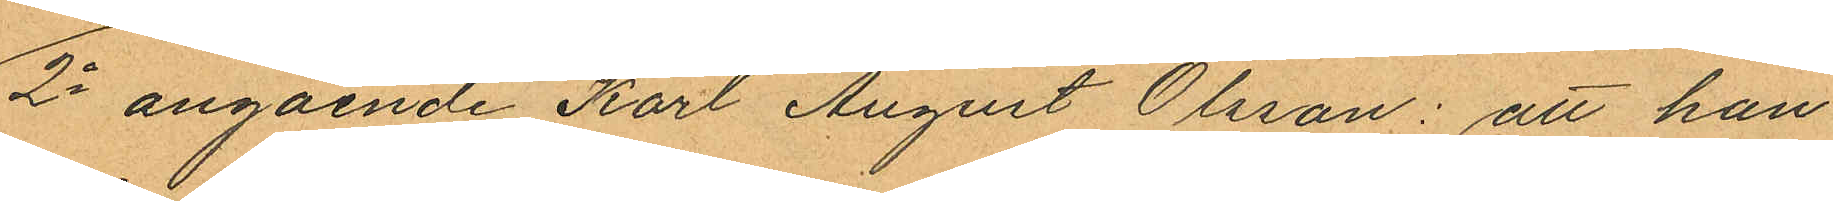2o angående Karl August Olsson: att han
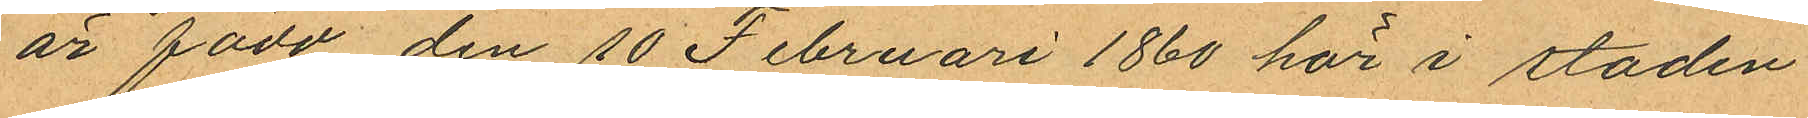är född den 10 Februari 1860 här i staden
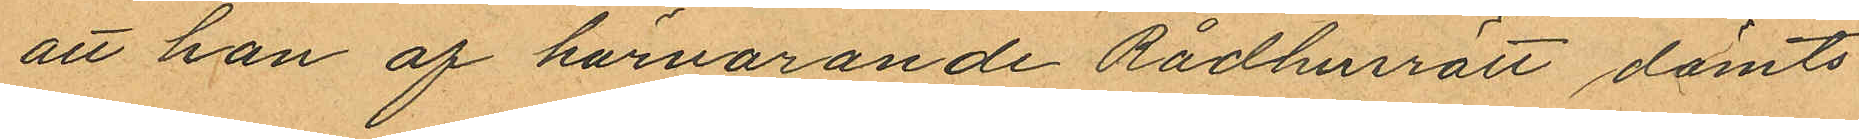att han af härvarande Rådhusrätt dömts
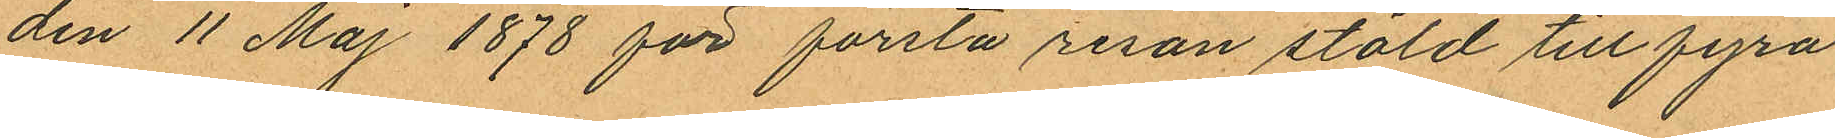den 11 Maj 1878 för första resan stöld till fyra
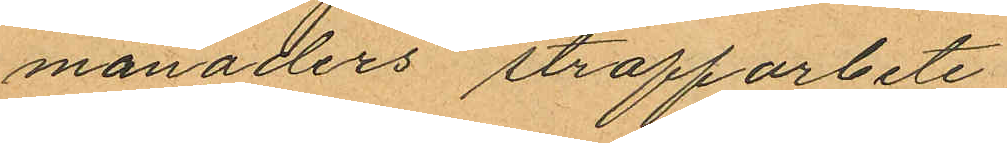månaders straffarbete
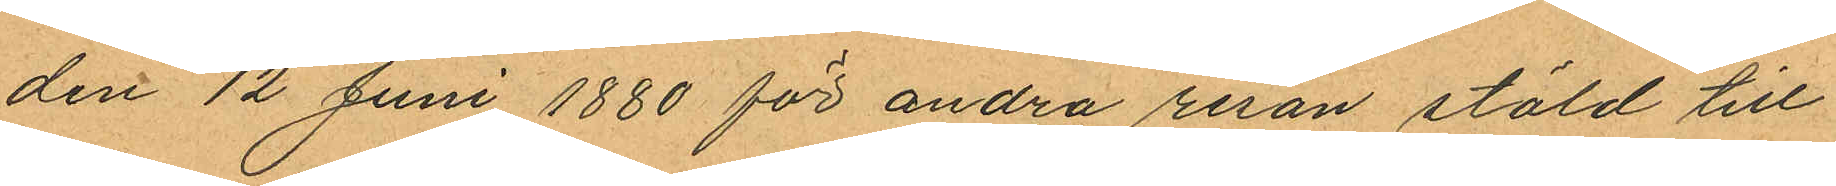den 12 Juni 1880 för andra resan stöld till
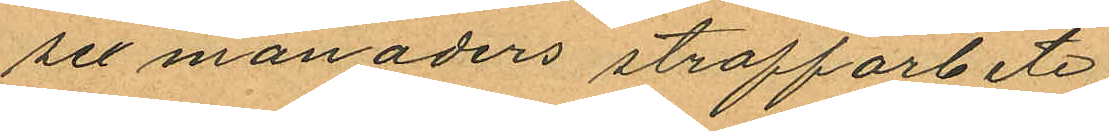sex månaders straffarbete
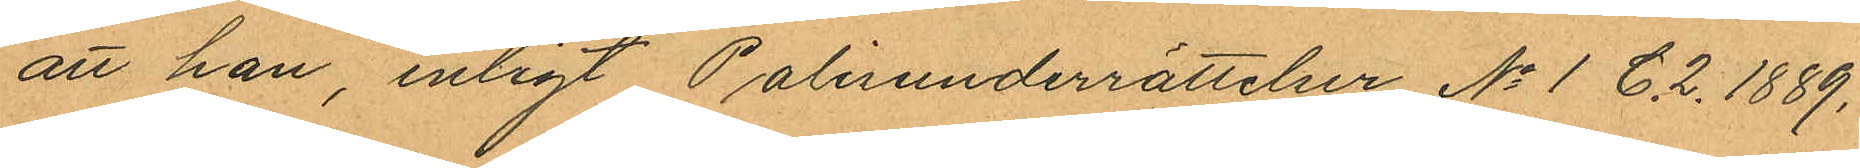att han, enligt Polisunderrättelser No 1 C.2. 1889.
